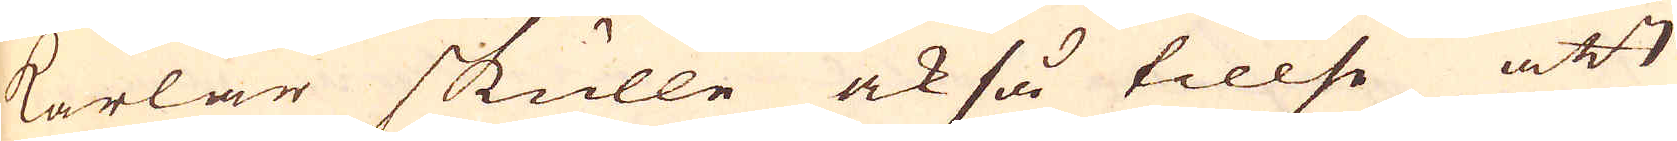karlar skulle också tillse att
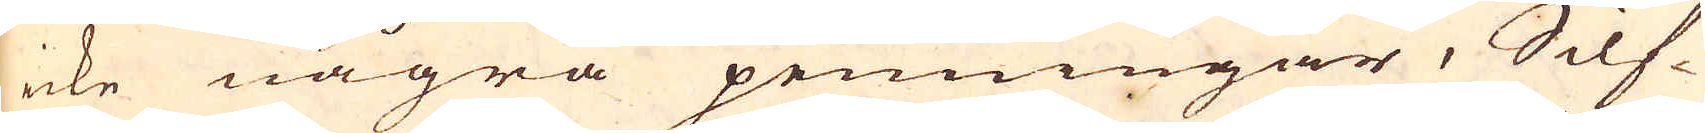icke några penningar, Silf-
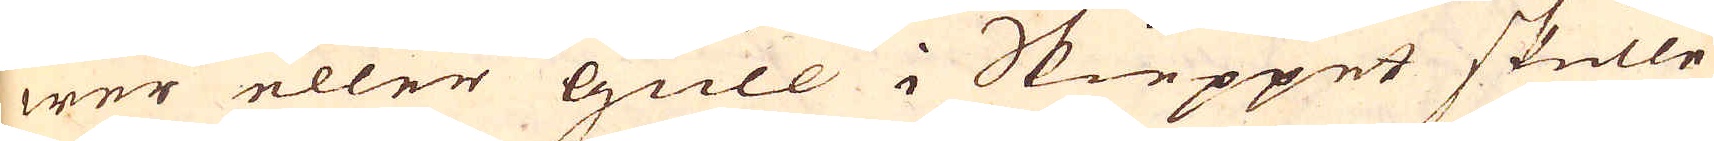wer eller Gull i Skieppet skulle
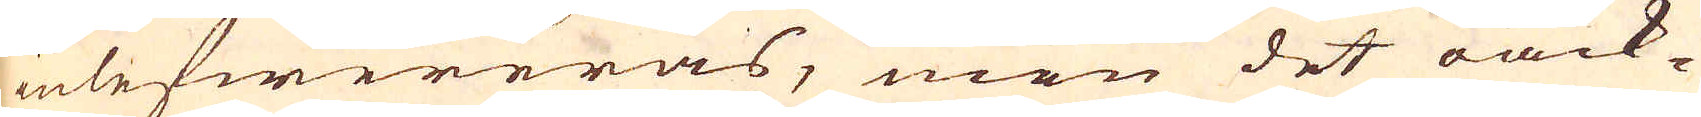inlefwereras, men det oack-
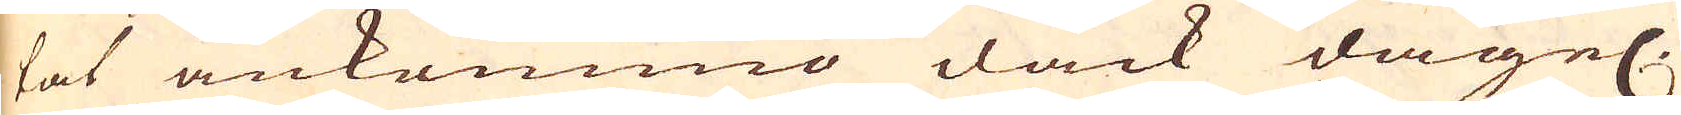tat ankommo dåck dagel.
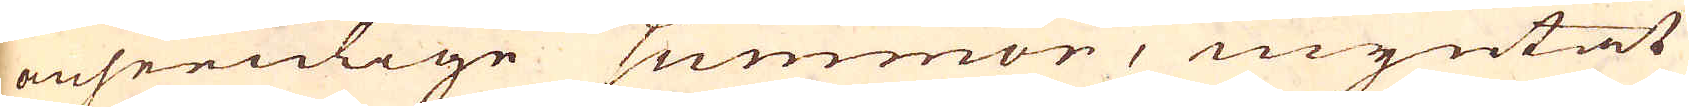anseenlige summor, myntat
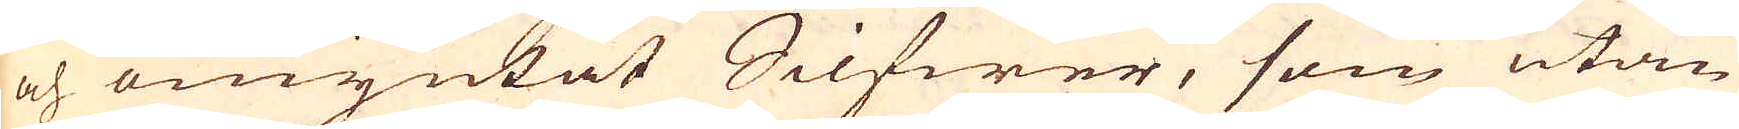och omyntat Silfwer, som utan
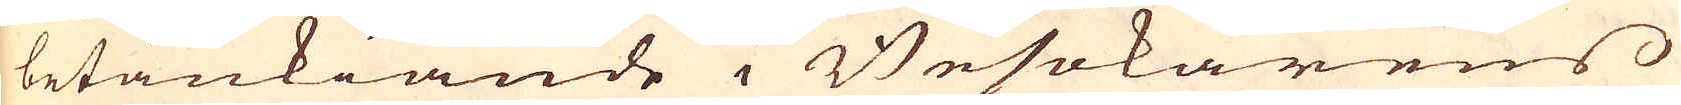betänkiande i Besökarens
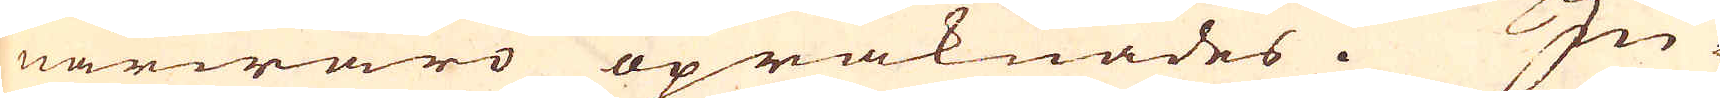närwaro opräknades.In-
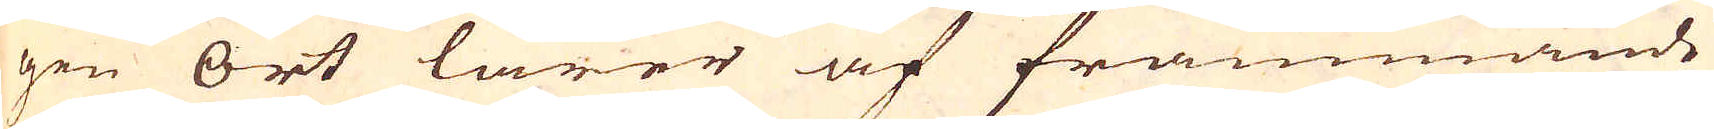gen ort lärer af främmande
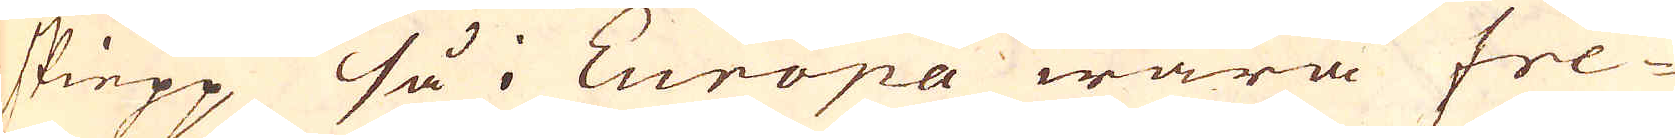skiepp så i Europa wara fre-
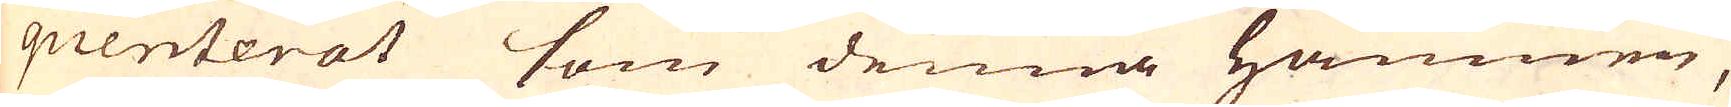quenterat som denna hamnen,
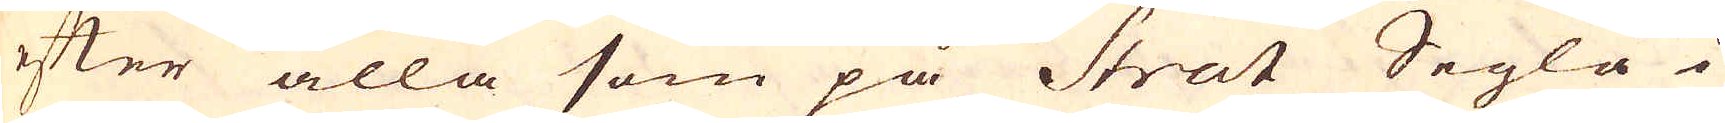efter alla som på Stråt Segla i
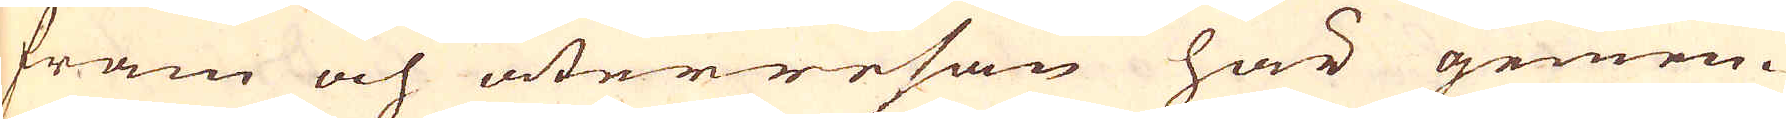fram och återresan här gemen-
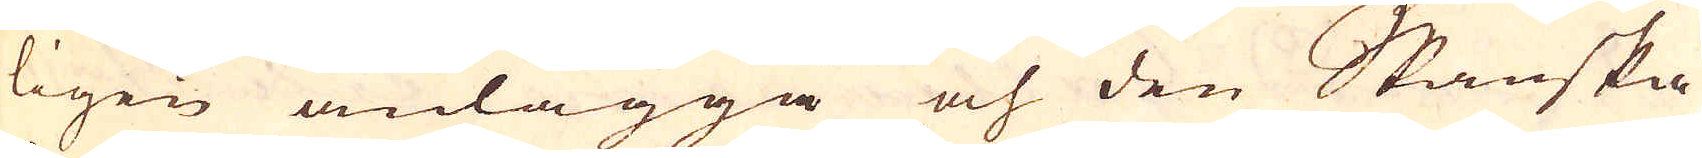ligen anlägga och den Spanska
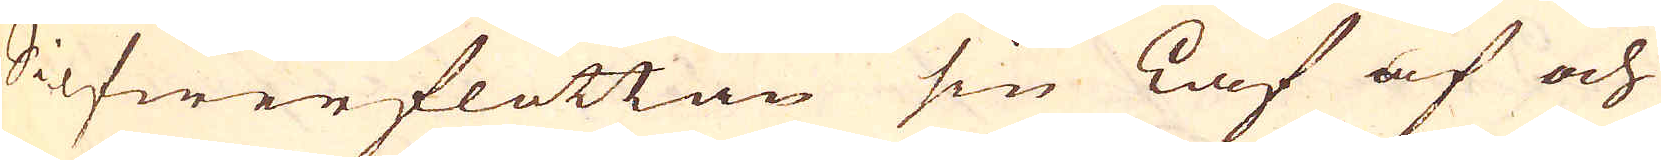Silfwerflottan sin Laf af och
